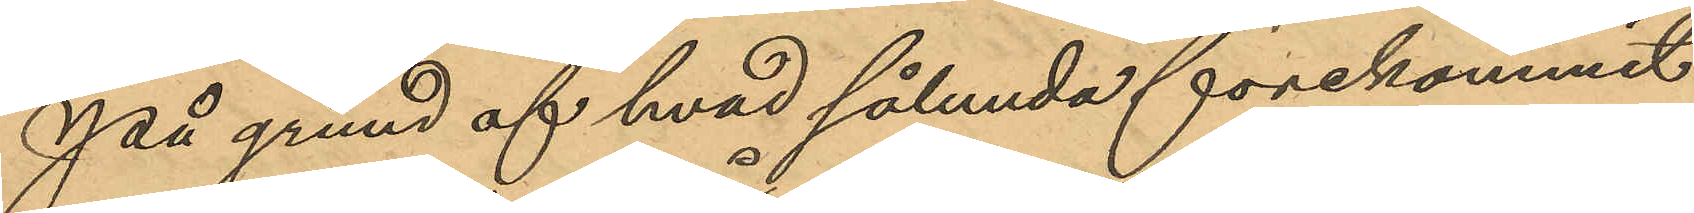På grund af hvad sålunda förekommit
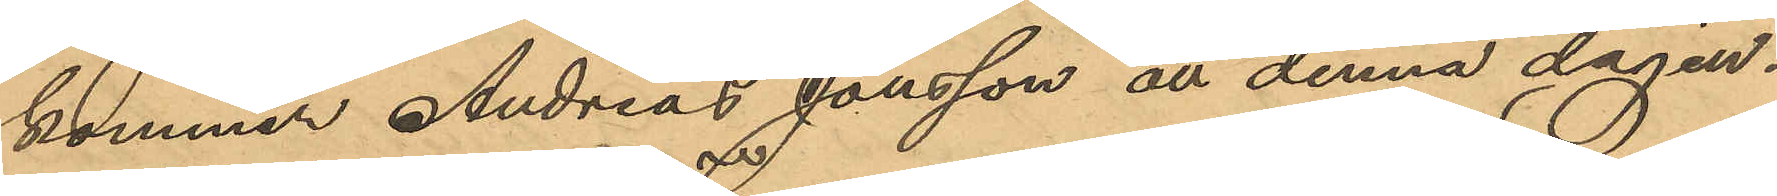kommer Andreas Jonsson att denna dag in¬
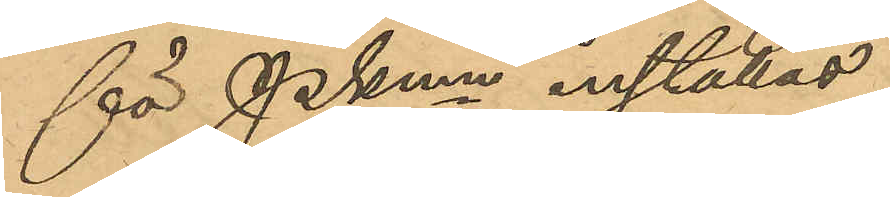för Pkmn inställas.
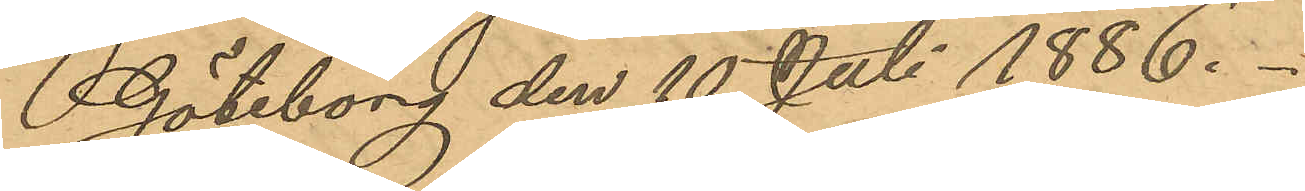Göteborg den 10 Juli 1886.
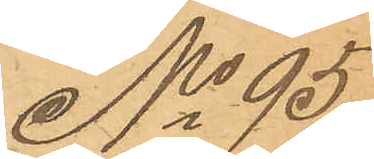No 95
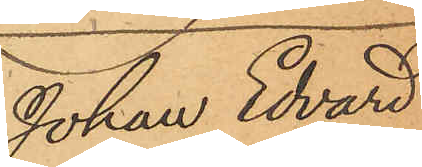Johan Evard
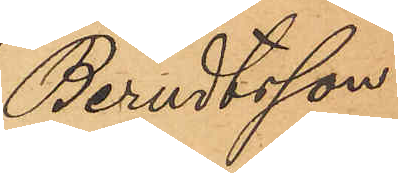Berndtsson
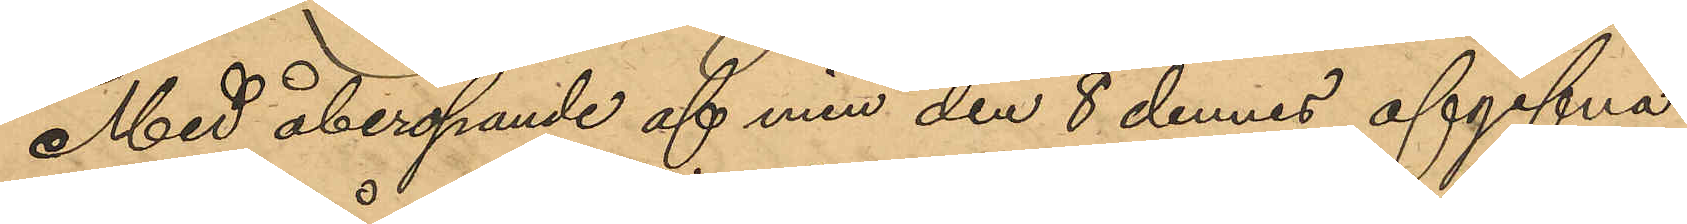Med åberopande af min den 8 dennes afgifna
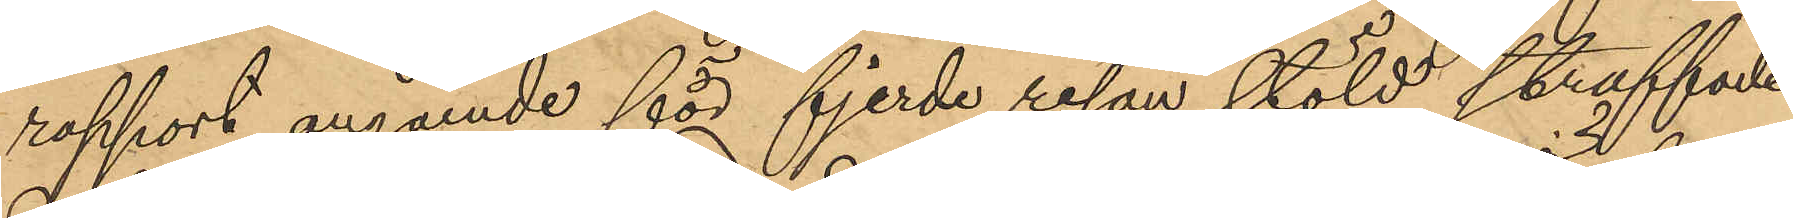rapport angående för fjerde resan stöld straffade
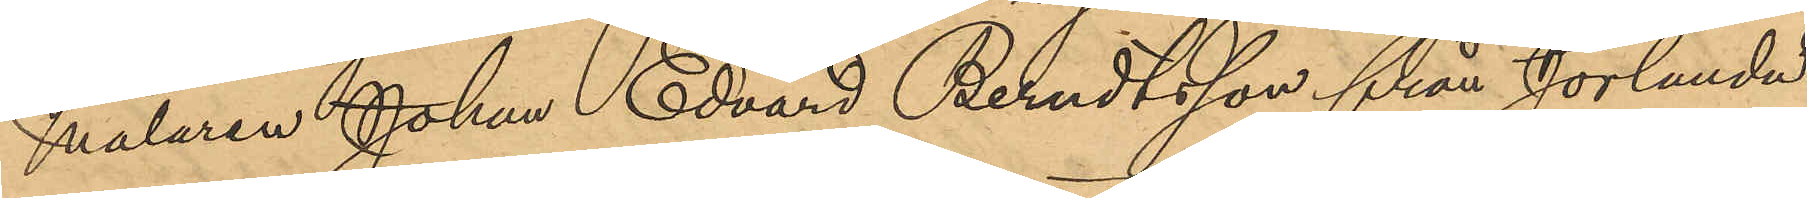målaren Johan Edvard Berndtsson från Jörlanda
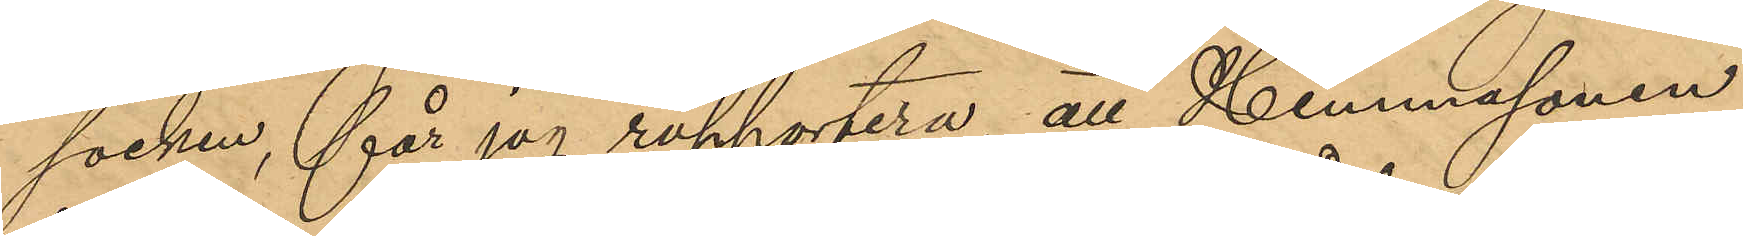socken, får jag rapportera, att Hemmasonen
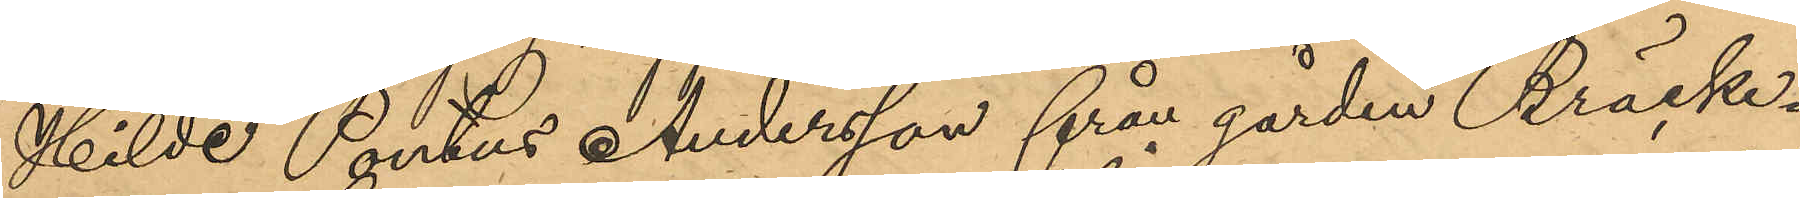Hilde Pontus Andersson från gården Bräcke¬
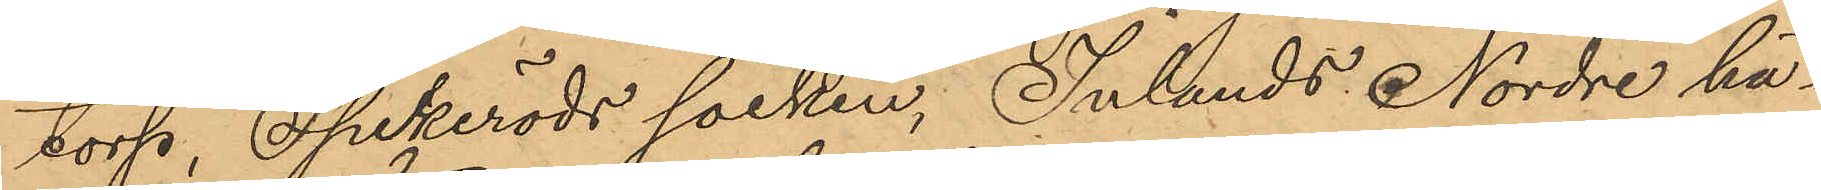torp, Spekeröds socken, Inlands Nordre hä¬
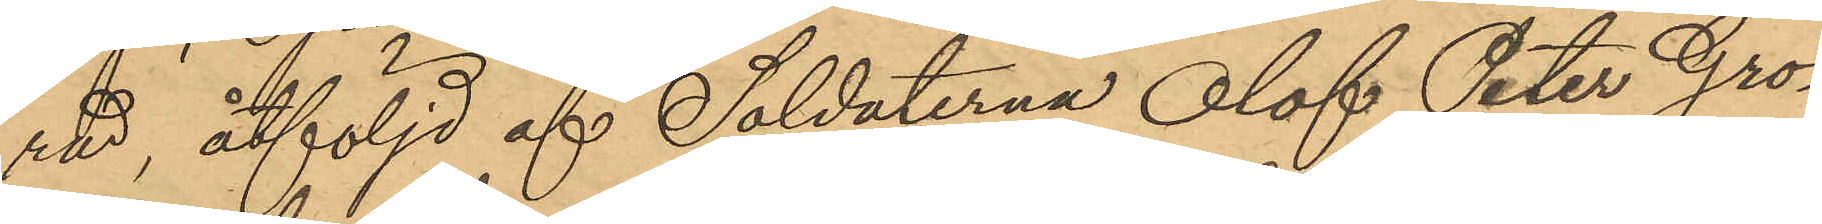rad, åtföljd af Soldaterna Olof Peter Gro¬
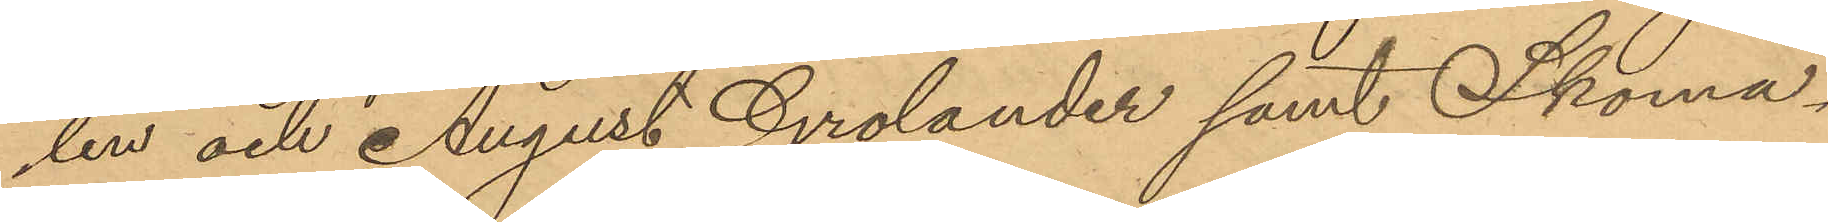lin och August Grolander samt Skoma¬
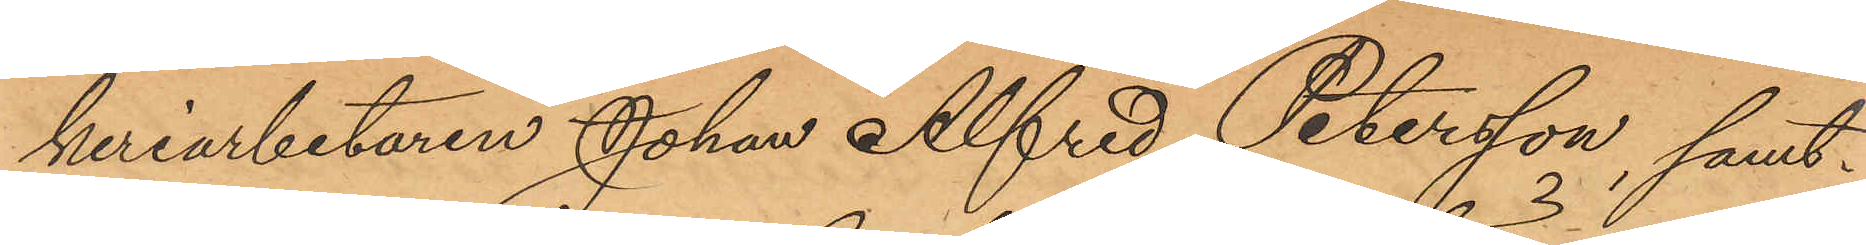keriarbetaren Johan Alfred Petersson, samt¬
